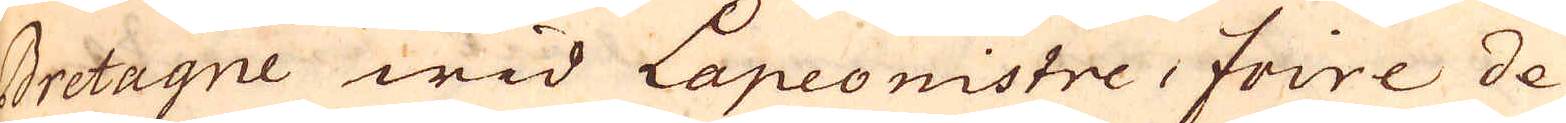Bretagne wid Lapeonistre, Foire de
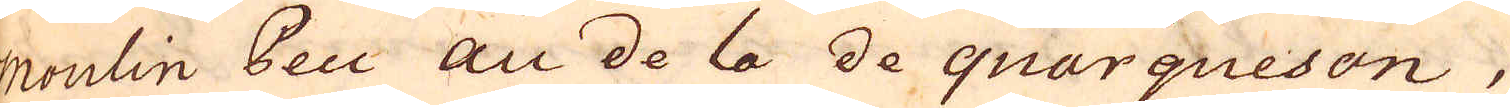moulin Peu au de la de quarqueson,
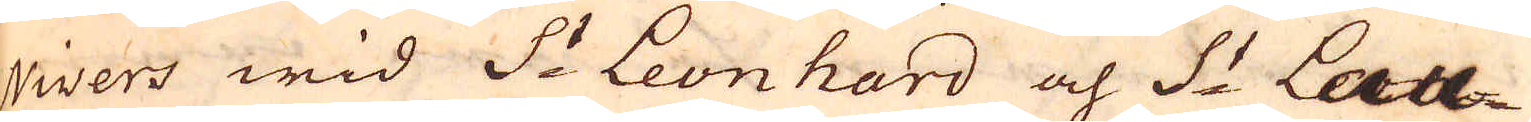Nivers wid S:t Leonhard och S:t Lau-
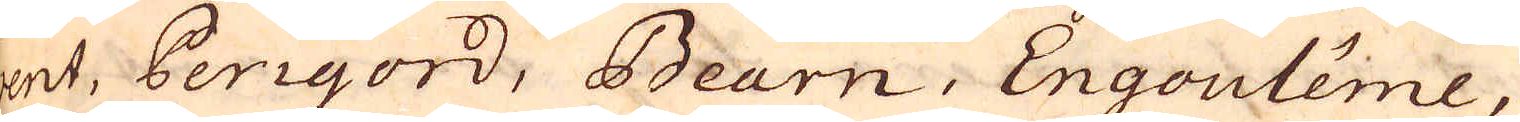rent, Perigord, Bearn, Engoulême,
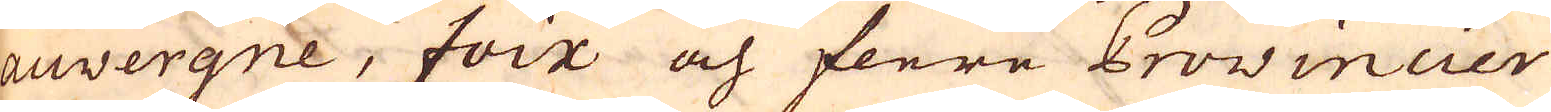Auvergne, Foix och flere Provincier
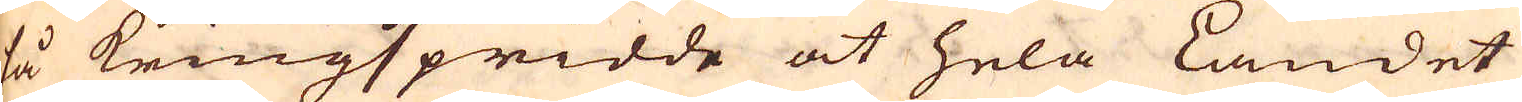så kringspridde at hela Landet
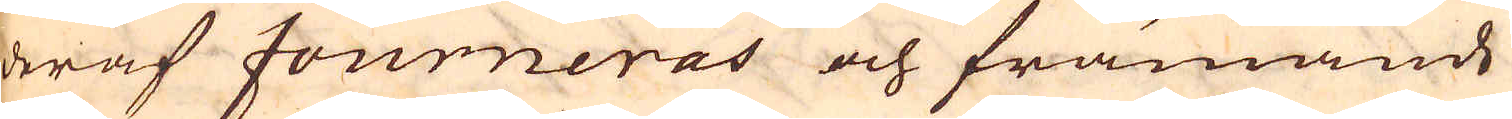deraf fourneras och främande
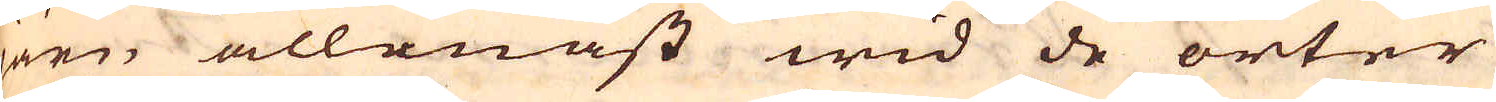järn allenast wid de orter
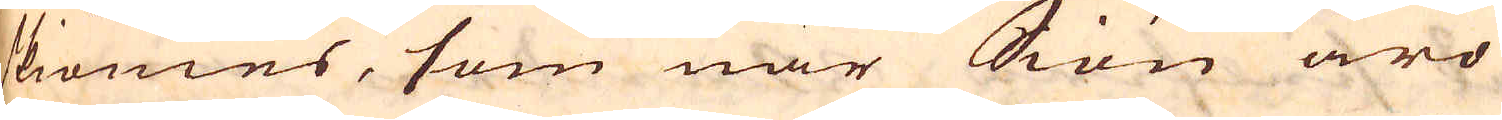skiönies, som när Siön äro
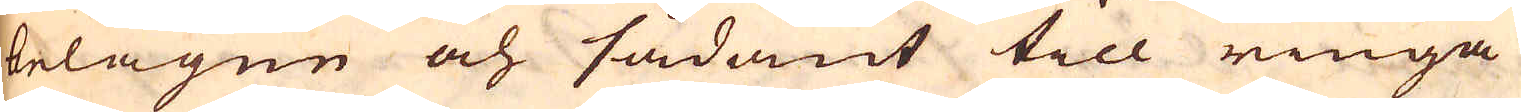belägne och sådant till ringa
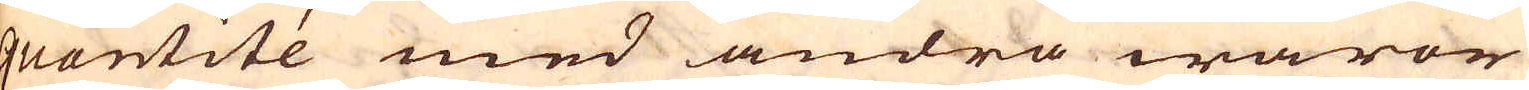quantité med andra waror
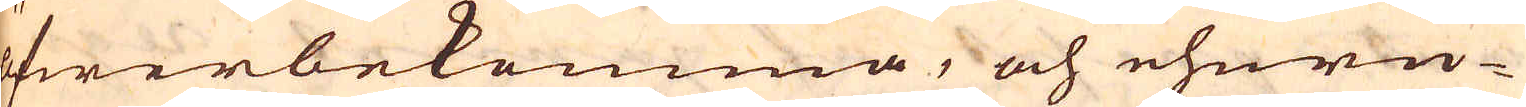öfwerbekomma, och ehuru-
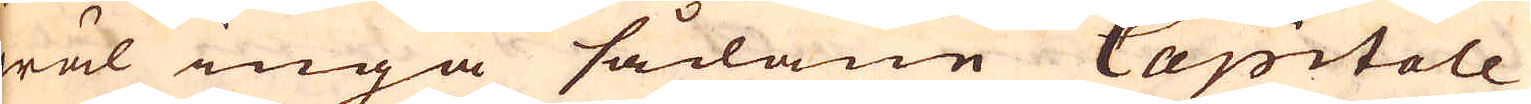wäl inga sådane Capitale
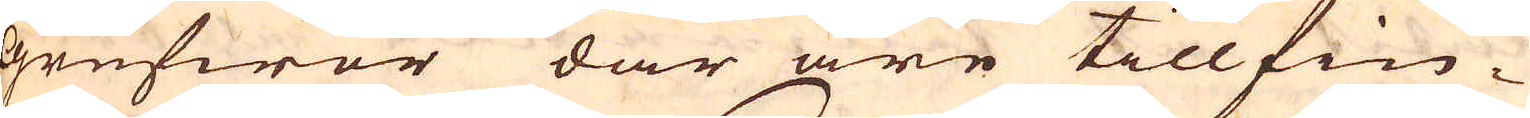grufwor där äre tillfin-
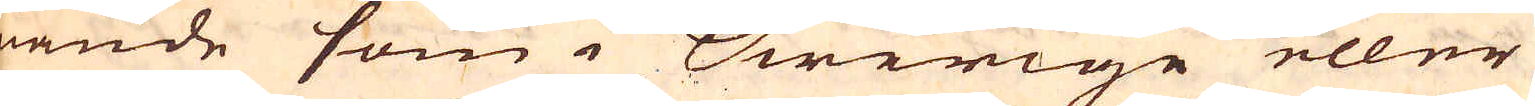nande som i Swerige eller
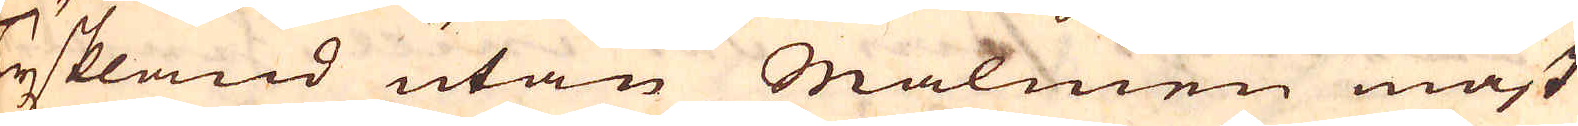Tyskland utan Malmen mäst
